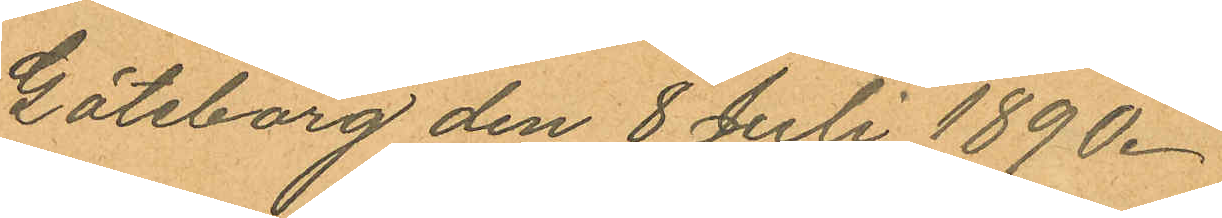Göteborg den 8 Juli 1890.
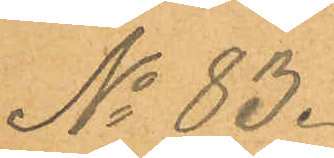No 83.
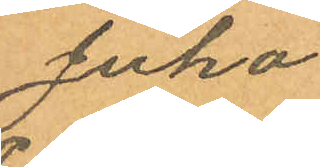Juha
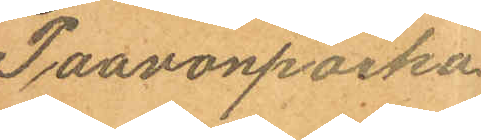Paavonpoika
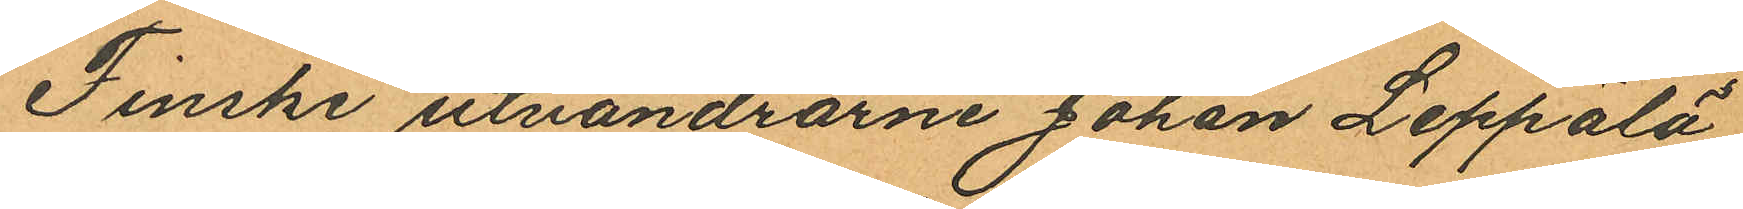Finske utvandrarne Johan Leppälä
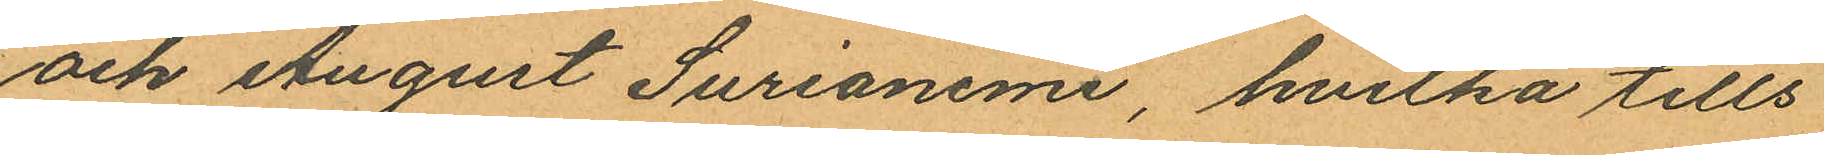och August Surianemi, hvilka tills
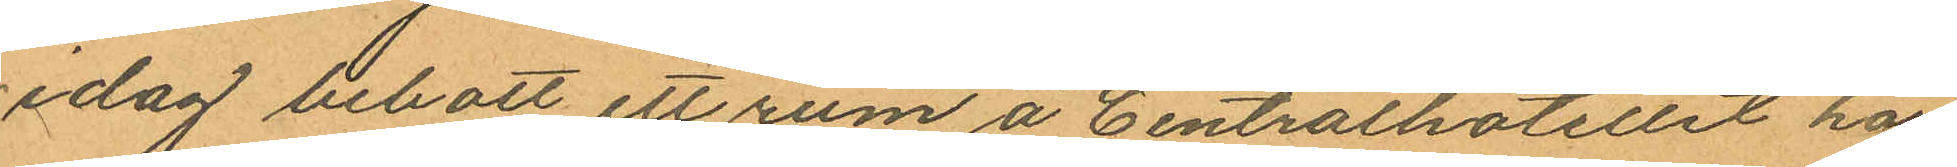idag bebott ett rum å Centralhotellet här
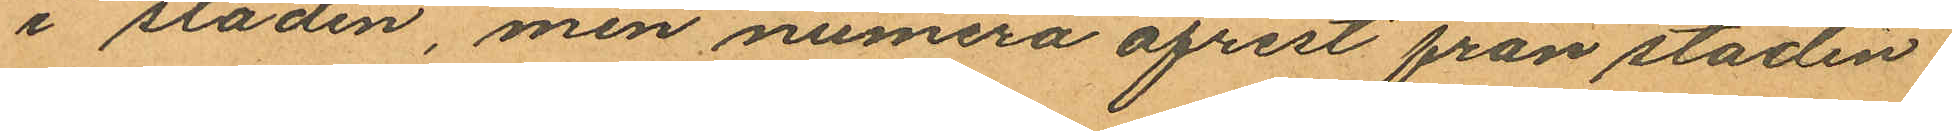i staden, men numera afrest från staden
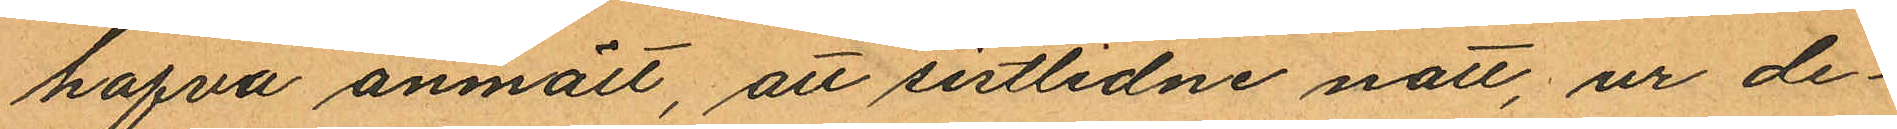hafva anmält, att sistlidne natt, ur de¬
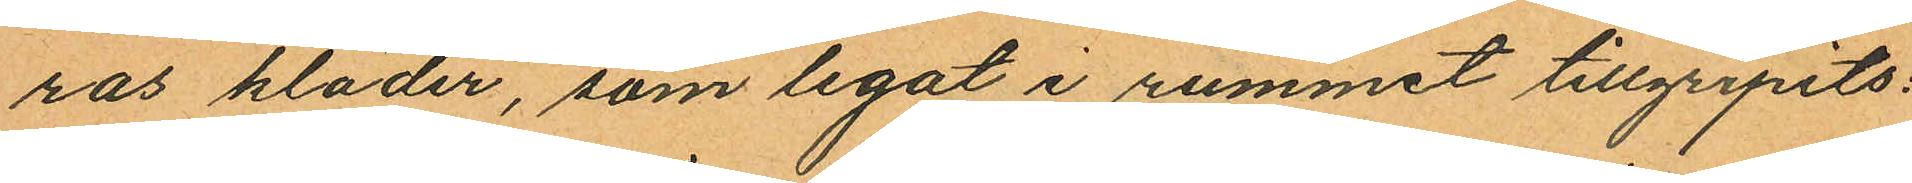ras kläder, som legat i rummet tillgripits:
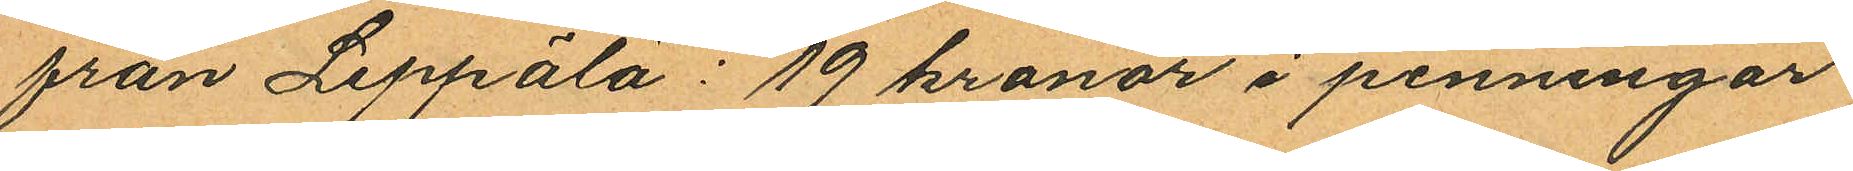från Leppälä: 19 kronor i penningar
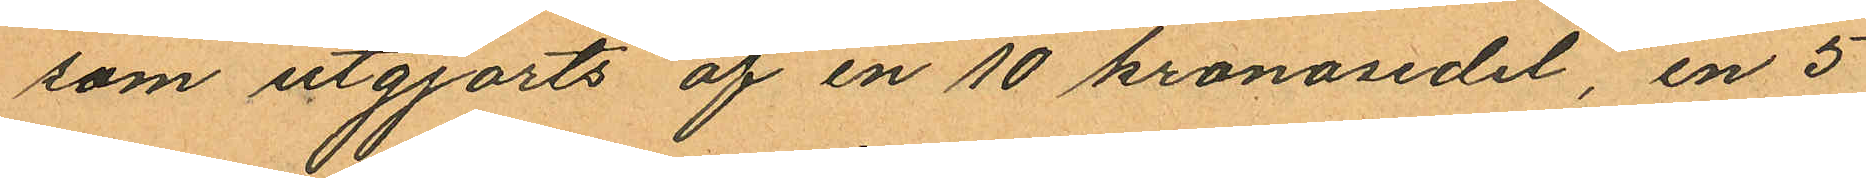som utgjorts af en 10 kronosedel, en 5
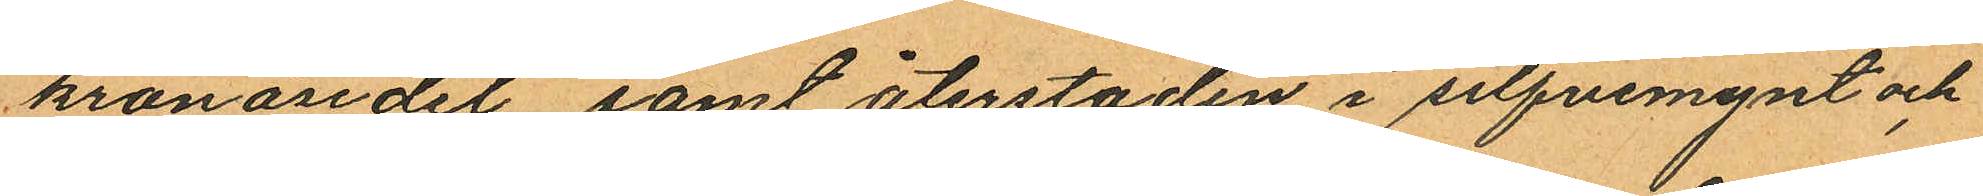kronosedel, samt återstoden i silfvemynt och
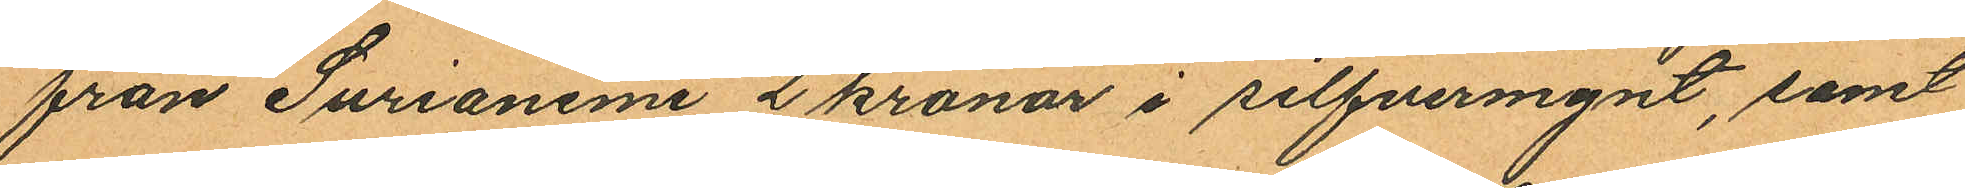från Surianemi 2 kronor i silfvermynt, samt
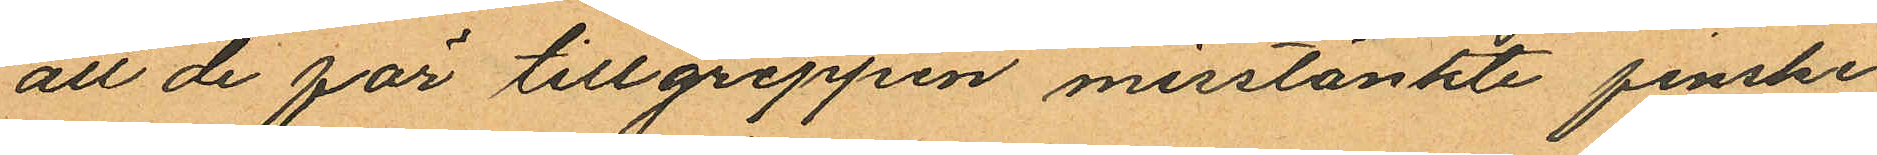att de för tillgreppen misstänkte finske
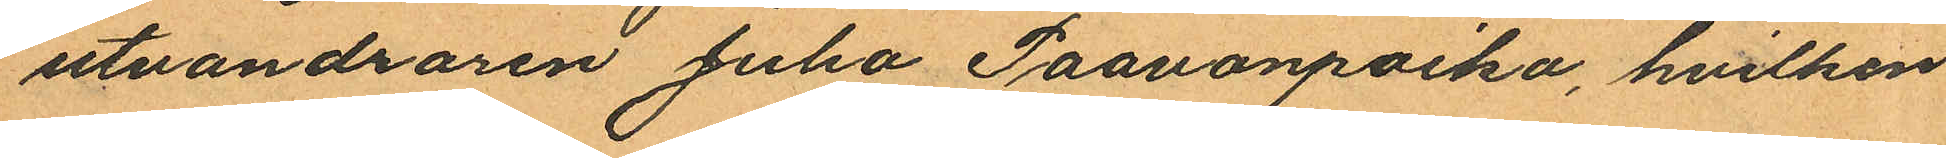utvandraren Juha Paavonpoika, hvilken
